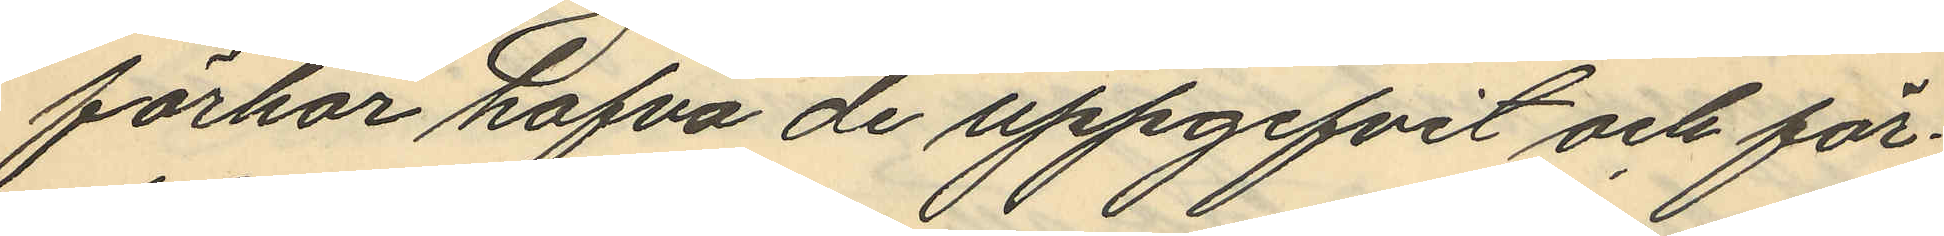förhör hafva de uppgifvit och för¬
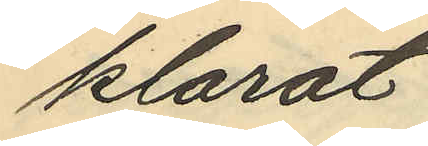klarat
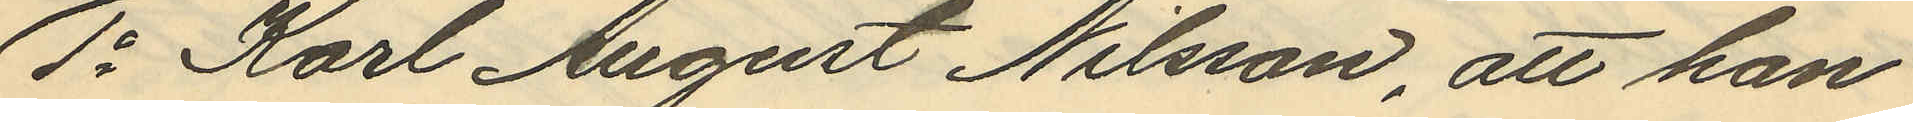1o Karl August Nilsson, att han
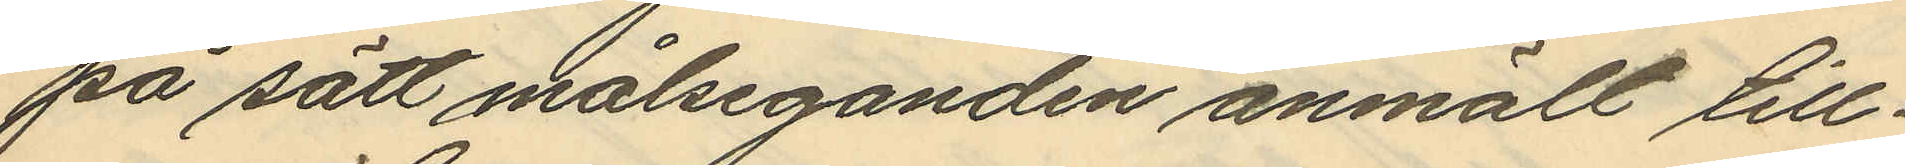på sätt målseganden anmält till¬
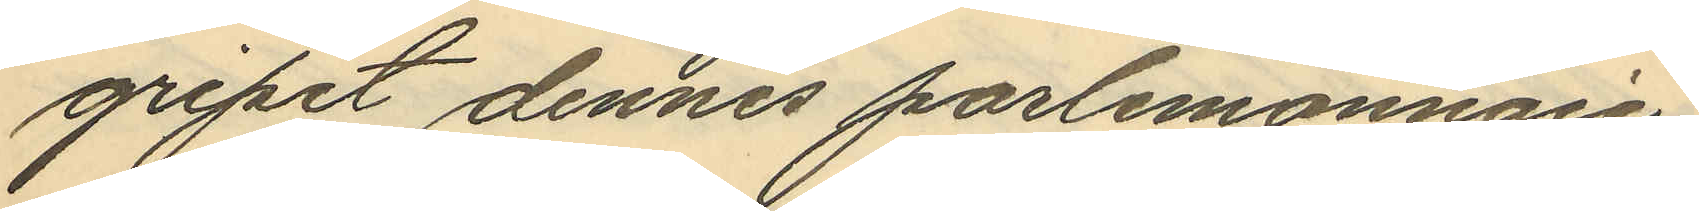gripit dennes portmonnaie,
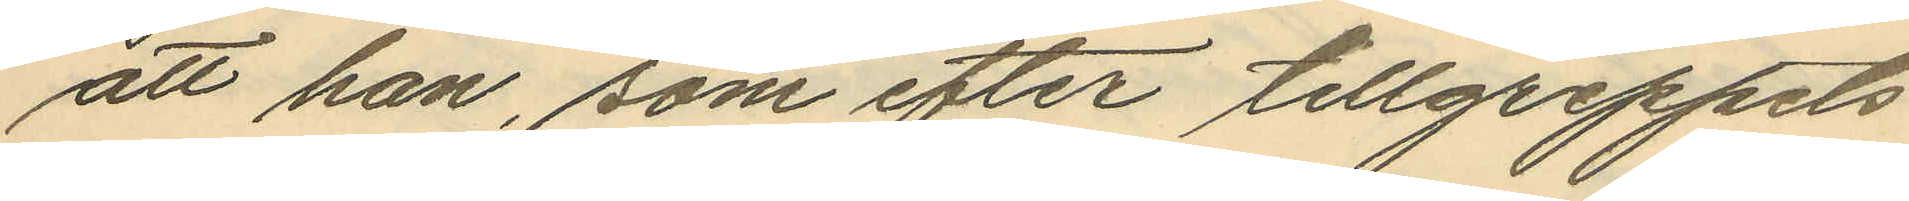att han, som efter tillgreppets
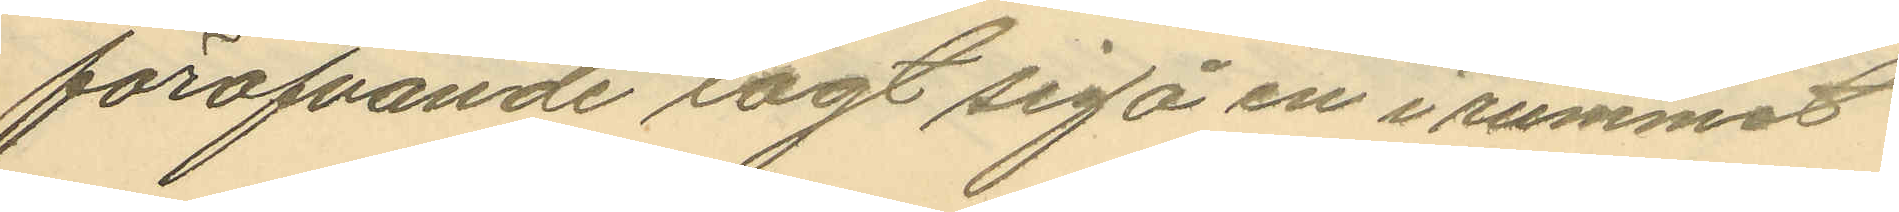föröfvande sagt sig å en i rummet
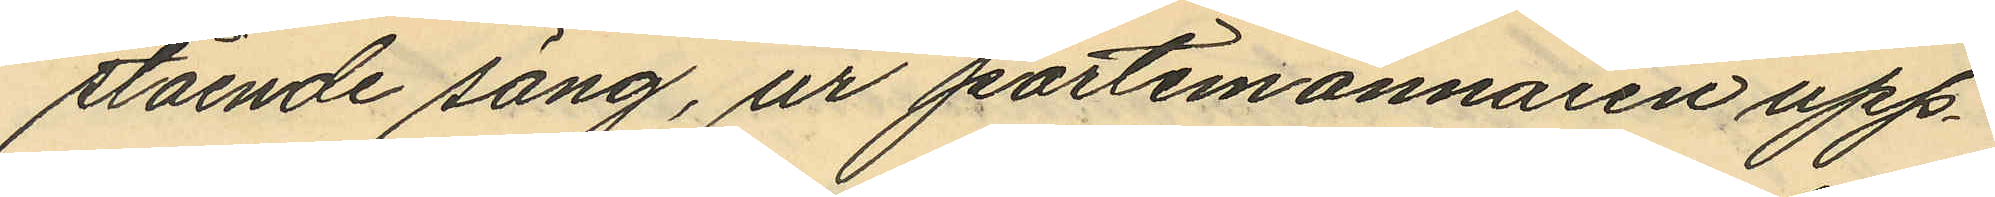stående säng, ur portmonnäien upp¬
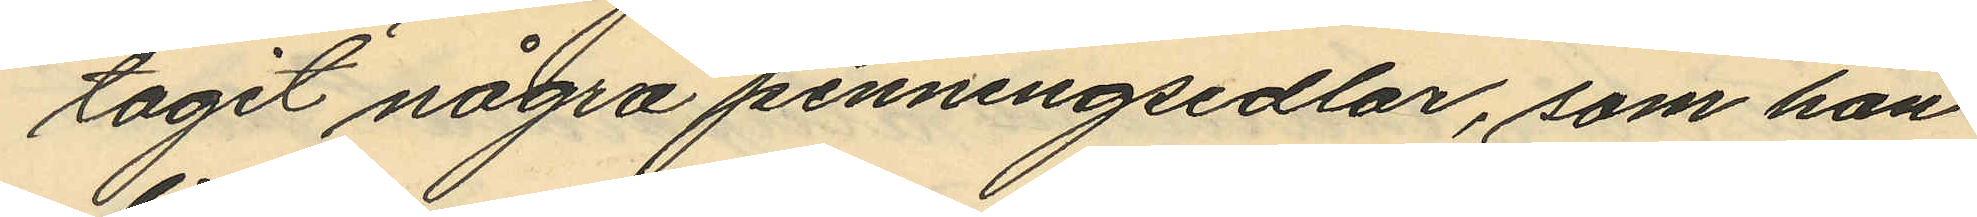tagit några penningsedlar, som han
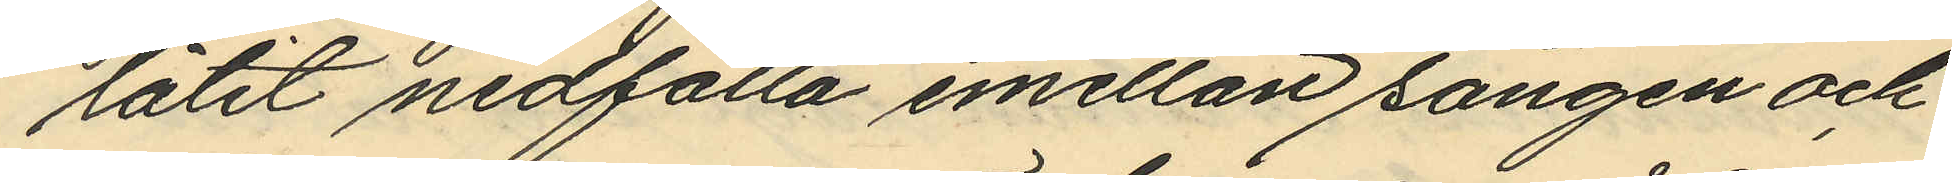låtit nedfalla emellan sängen och
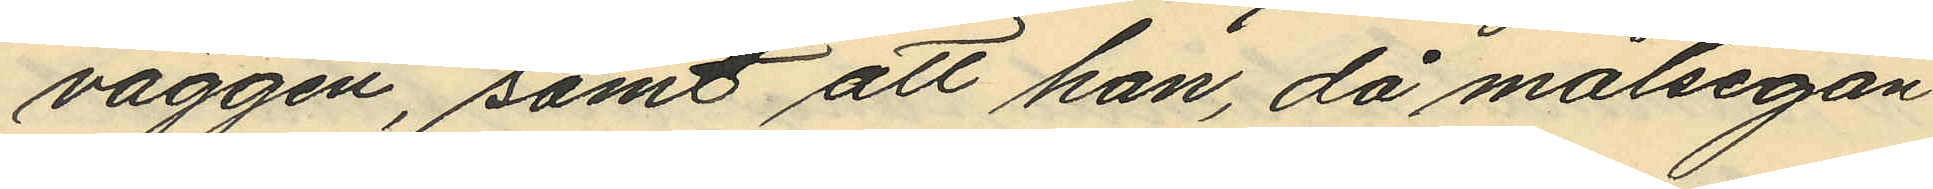väggen, samt att han, då målsegan¬
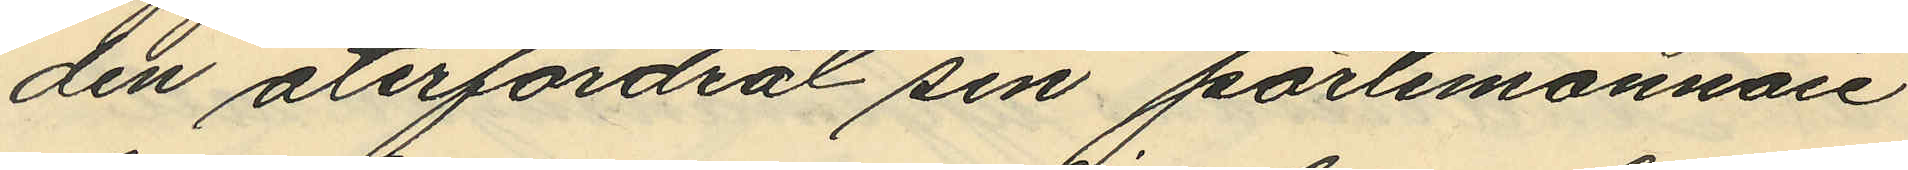den återfordrat sin portmonnaie
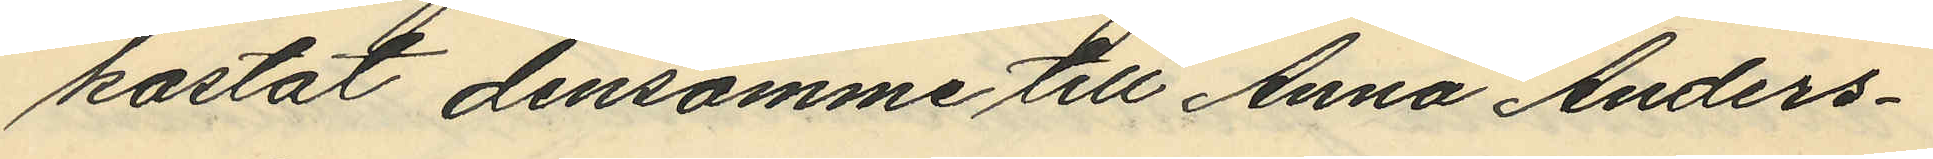kastat densamme till Anna Anders¬
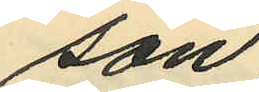son.
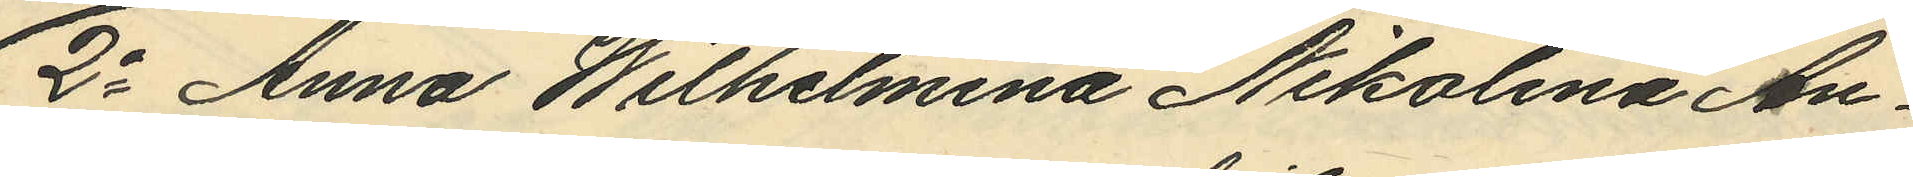2o Anna Wilhelmina Nikolina An¬
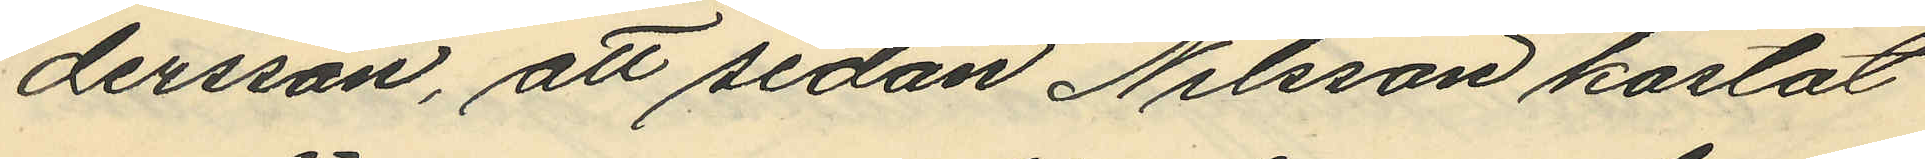dersson, att sedan Nilsson kastat
